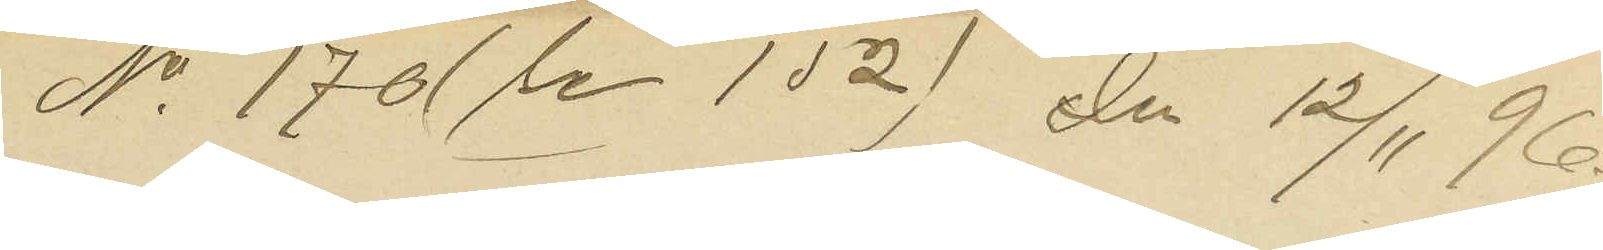No 170 (Se 152) den 12/11 96.
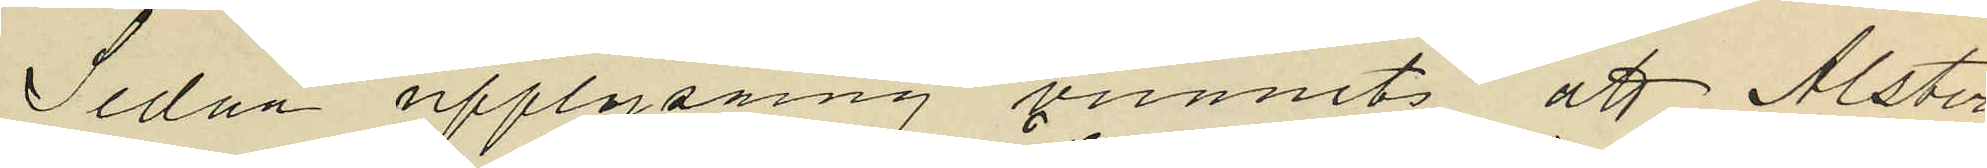Sedan upplysning vunnits att Alster
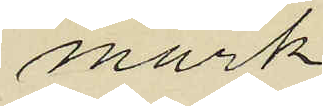mark
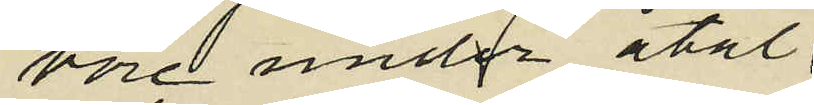vore under åtal
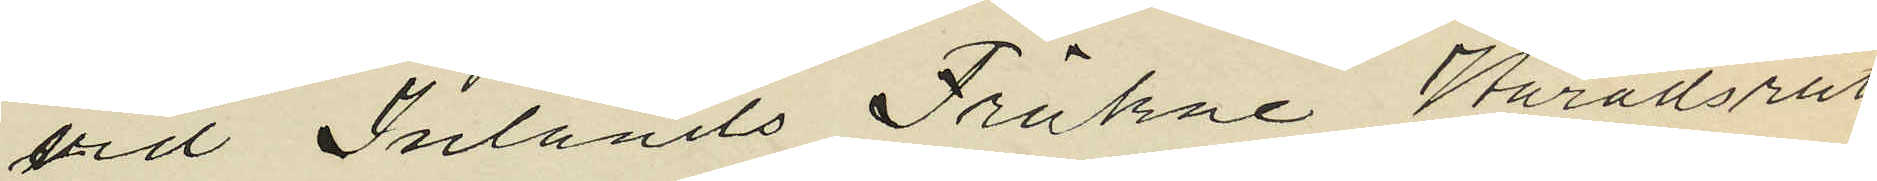vid Inlands Fräkne Häradsrätt
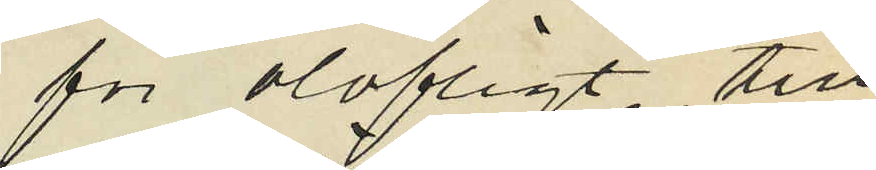för olofligt till
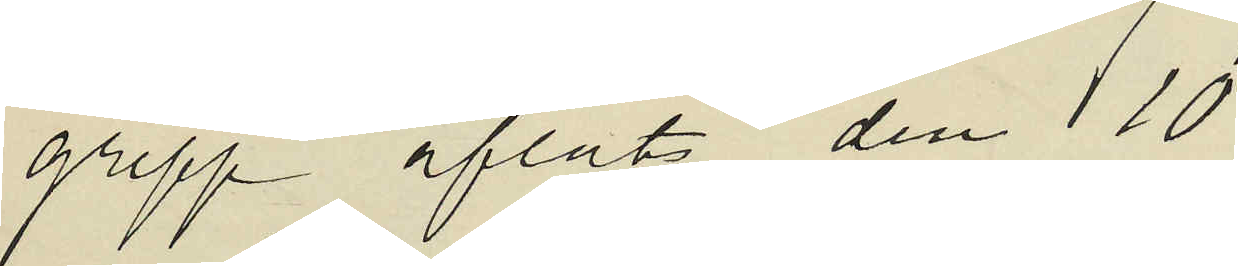grepp afläts den 10
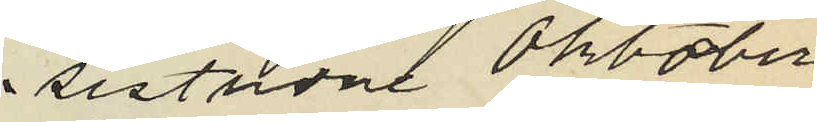sistlidne Oktober
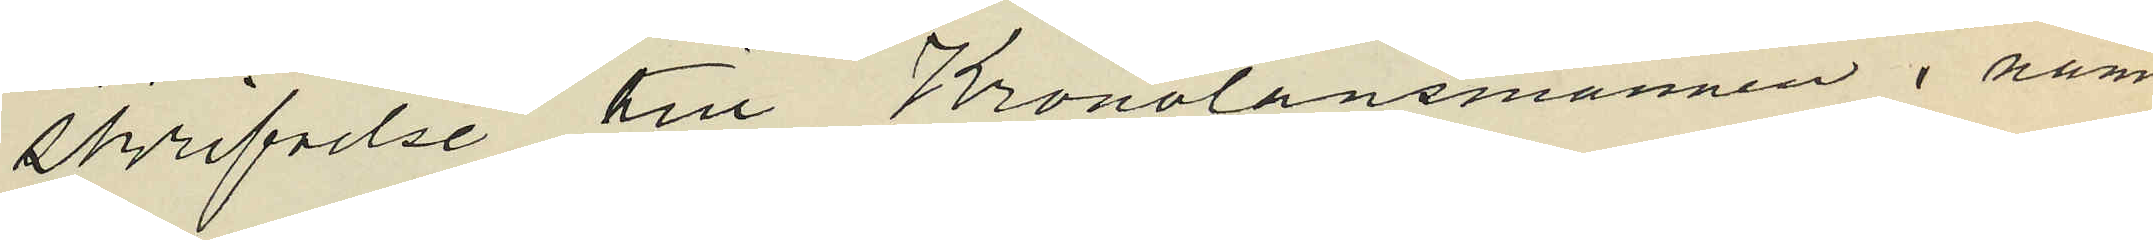skrifvelse till Kronolänsmannen i nämn
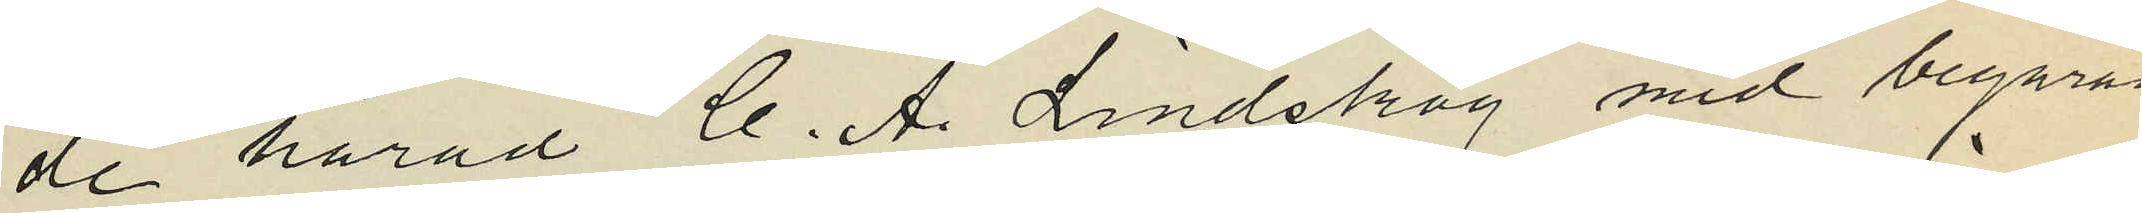de härad C. A. Lindskog med begäran
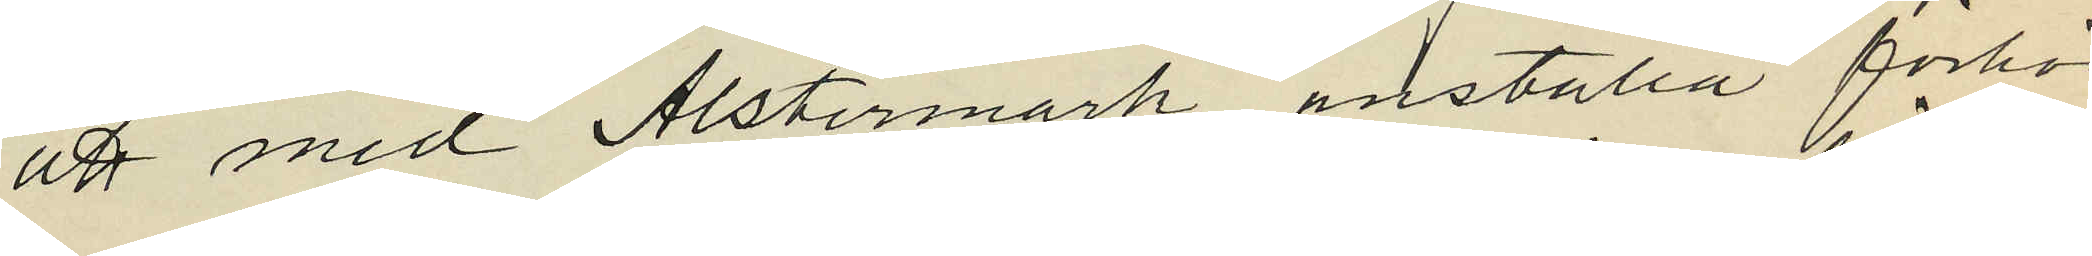att med Alstermark anställa förhör
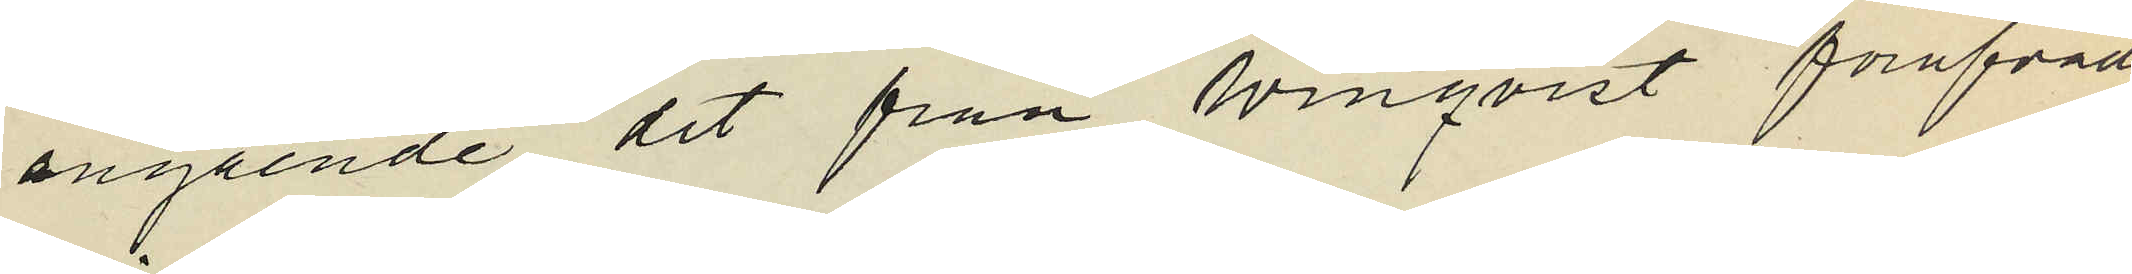angående det från Winqvist föröfvade
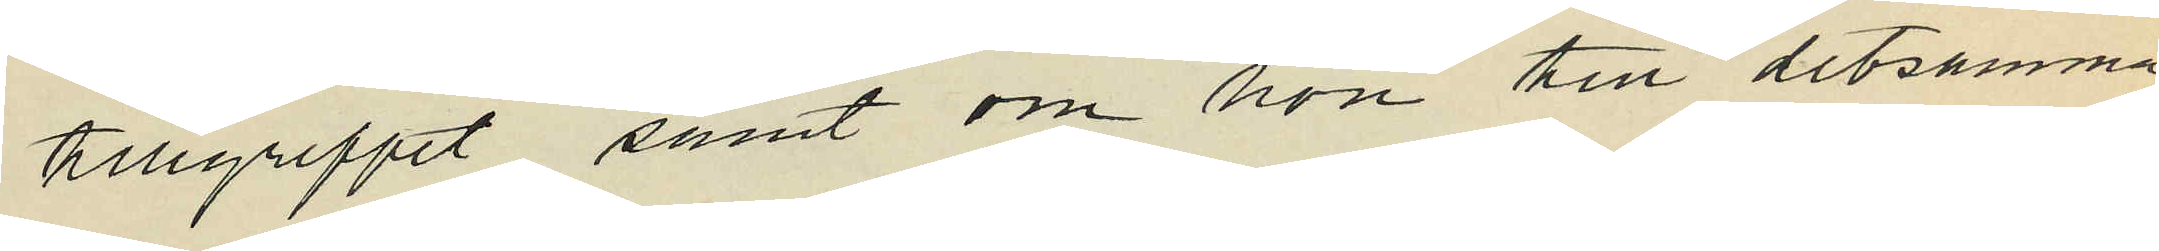tillgreppet samt om hon till detsamma
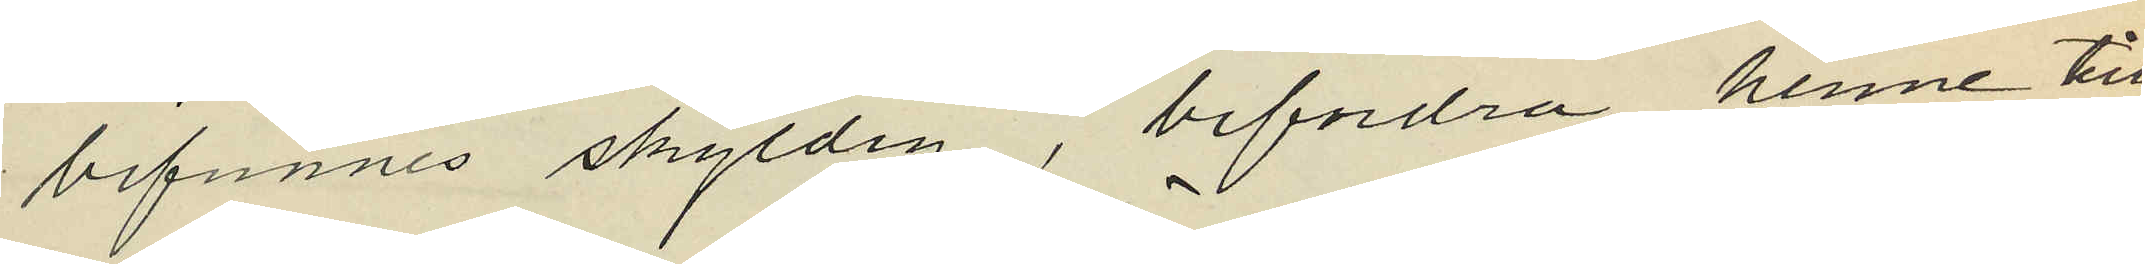befunnes skyldig, befordra henne till
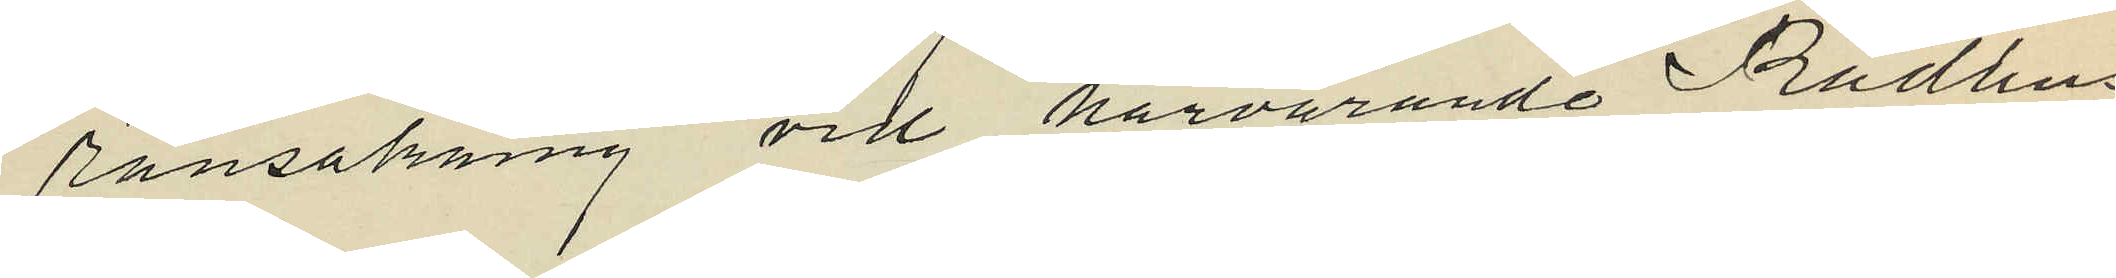ransakning vid härvarande Rådhus
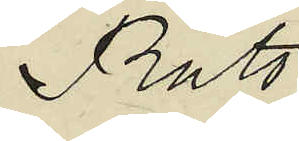Rätt
